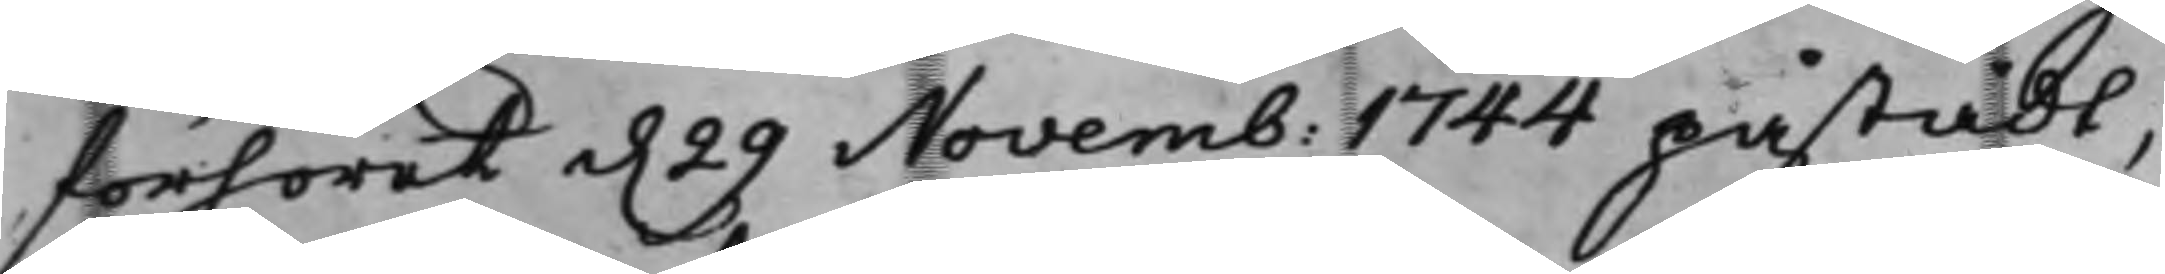förhöret d. 29 Novemb: 1744 påstådt,
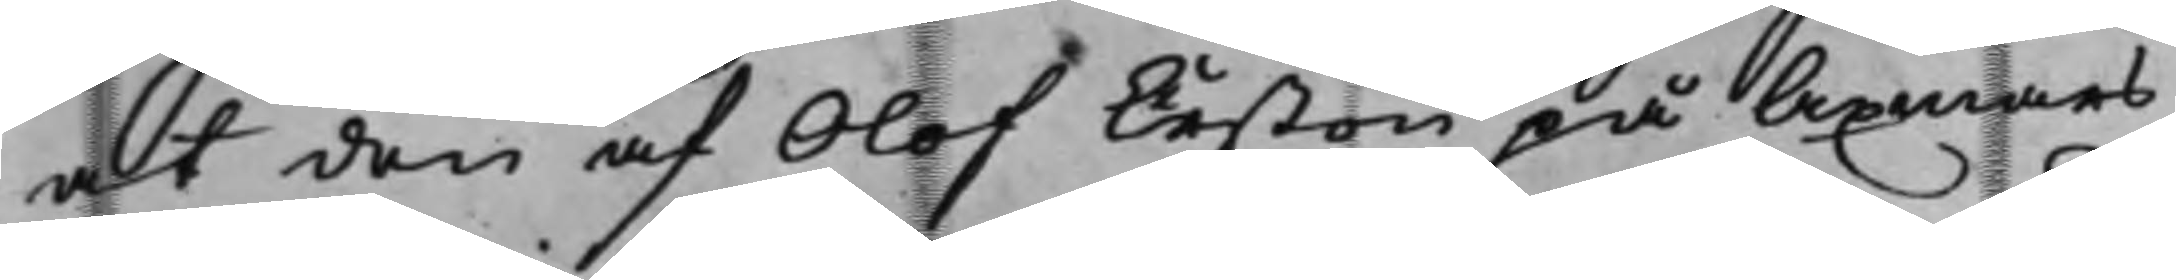at den af Olof Erßon på Axmars
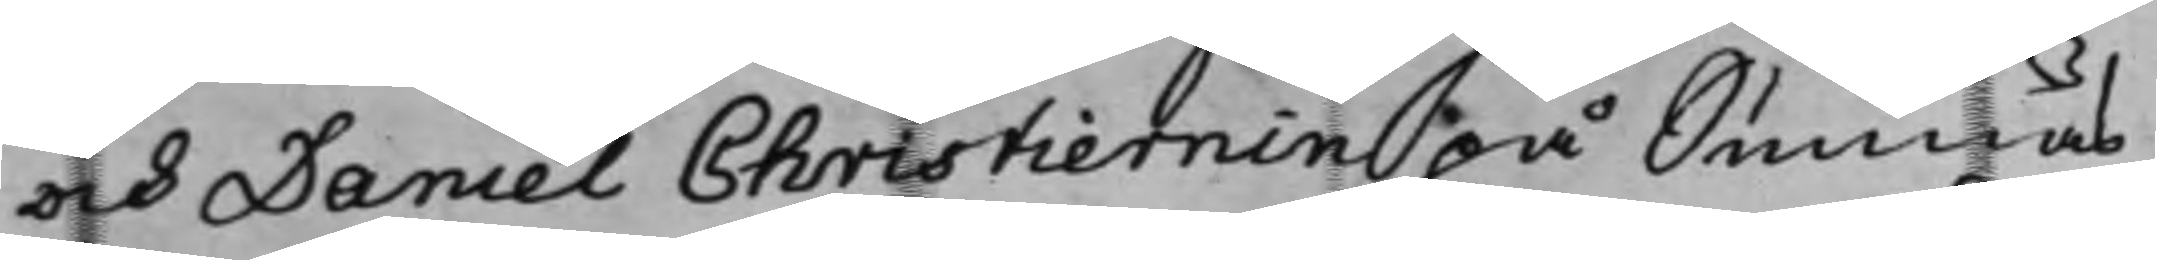och Daniel Christiernin på Sunnäs
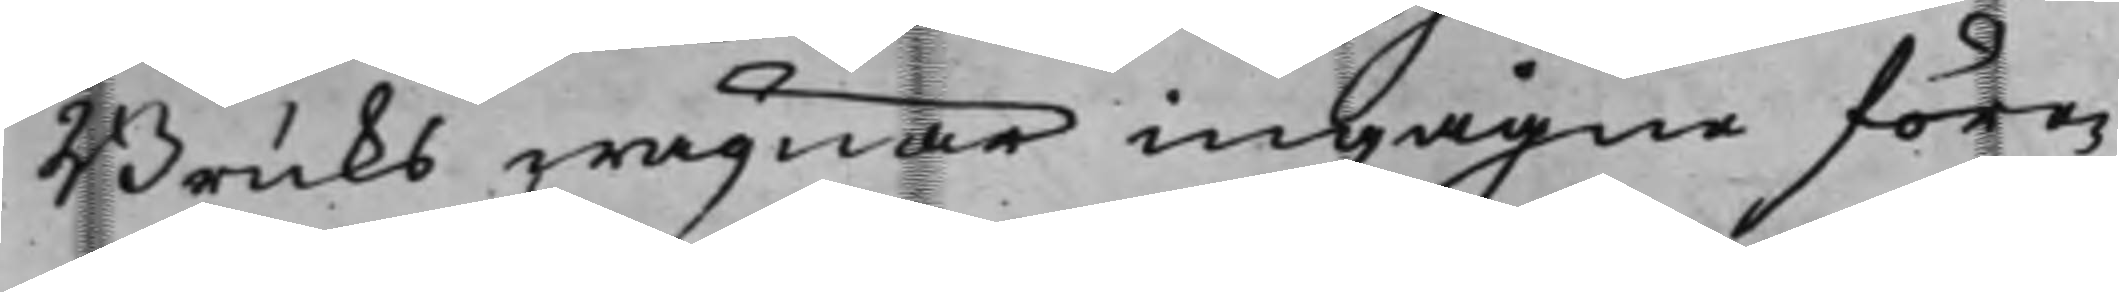Bruks wägnar ingågne före¬
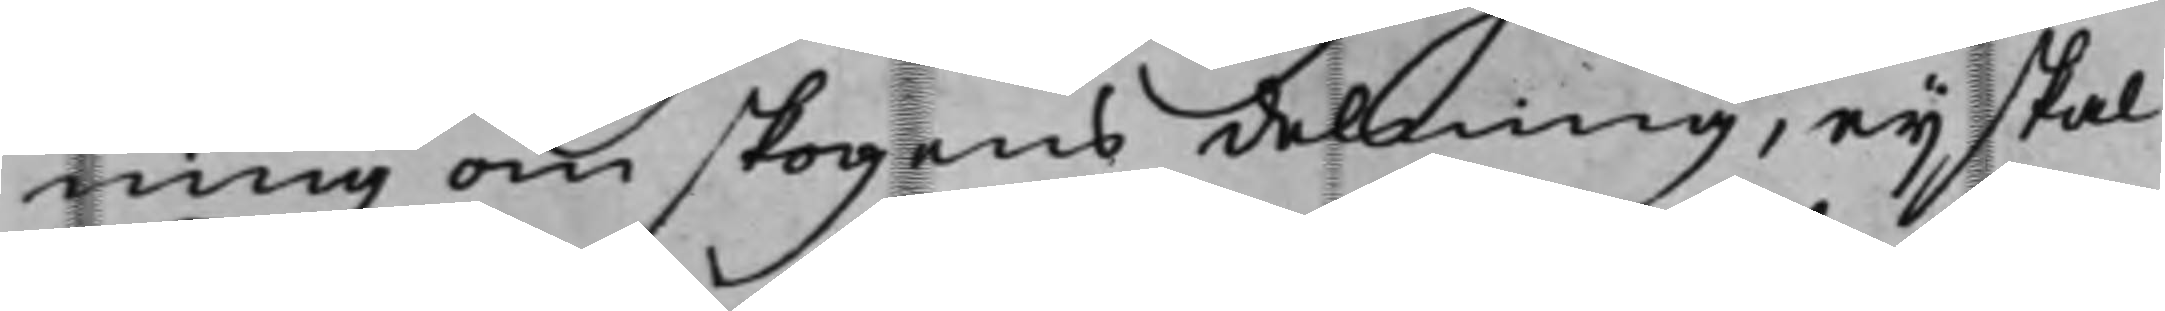ning om skogens delning, eij skal
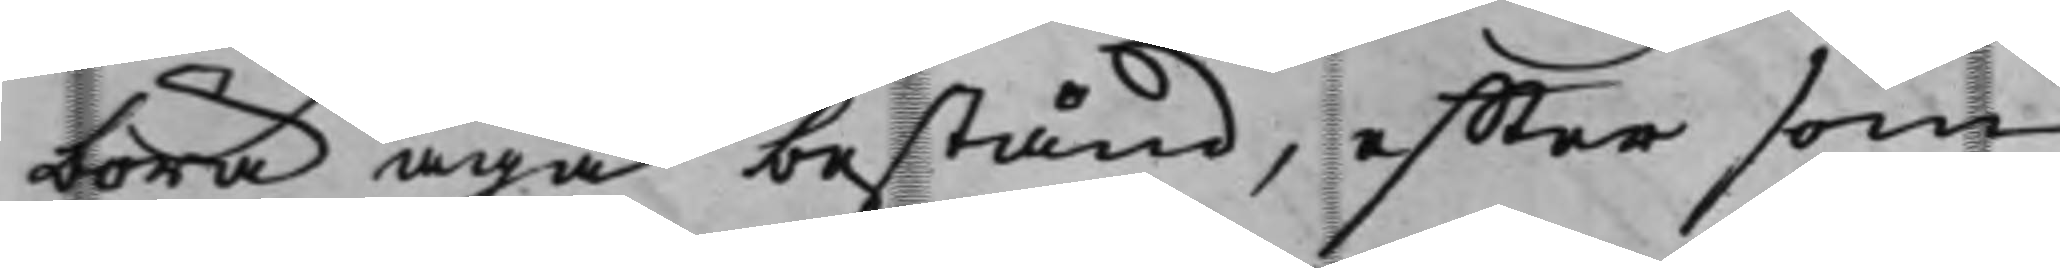böra äga bestånd, effter som
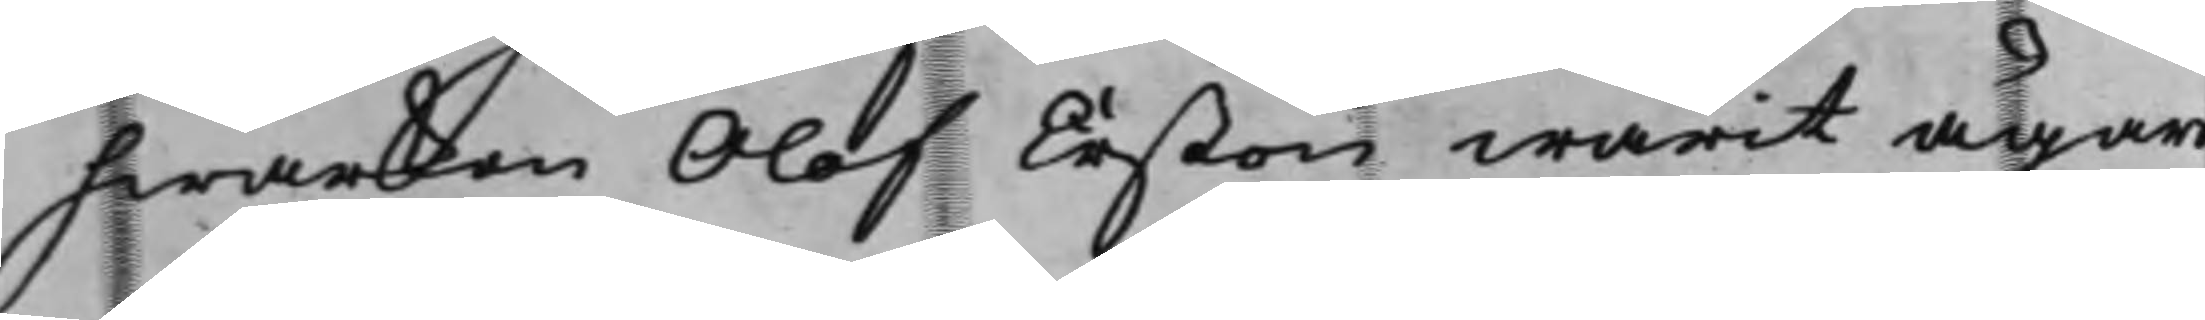hwarken Olof Erßon warit ägare
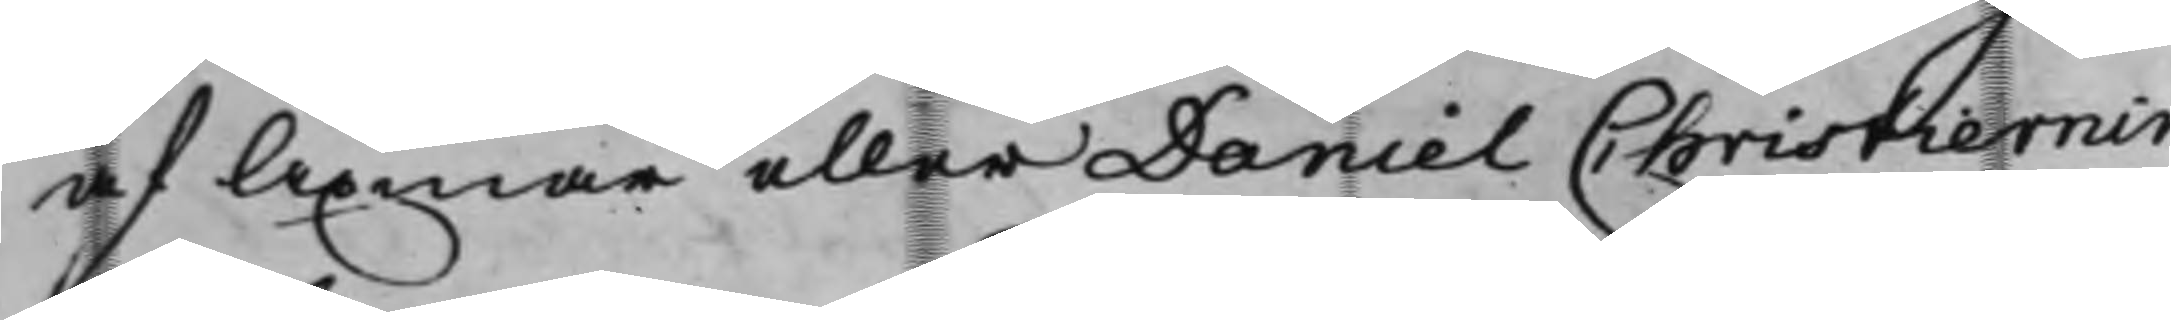af Axmar eller Daniel Christiernin
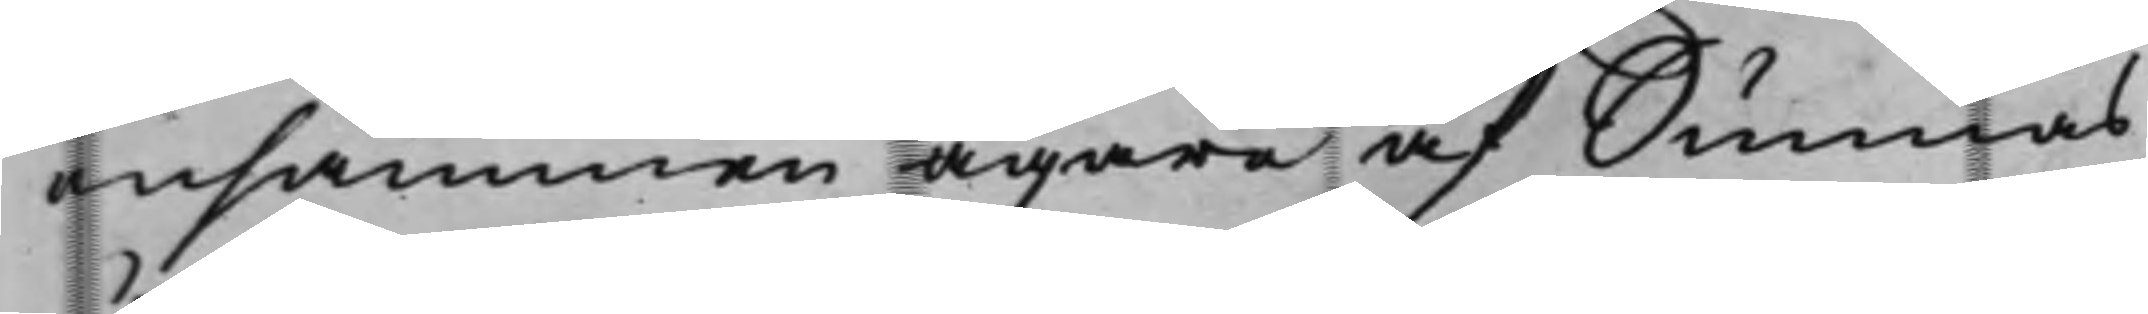ensammen ägare af Sunnäs,
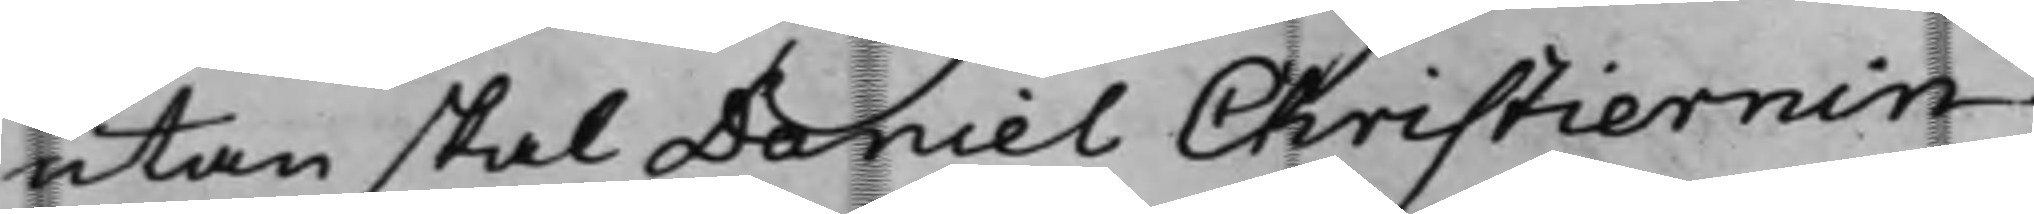utan skal Daniel Christiernin
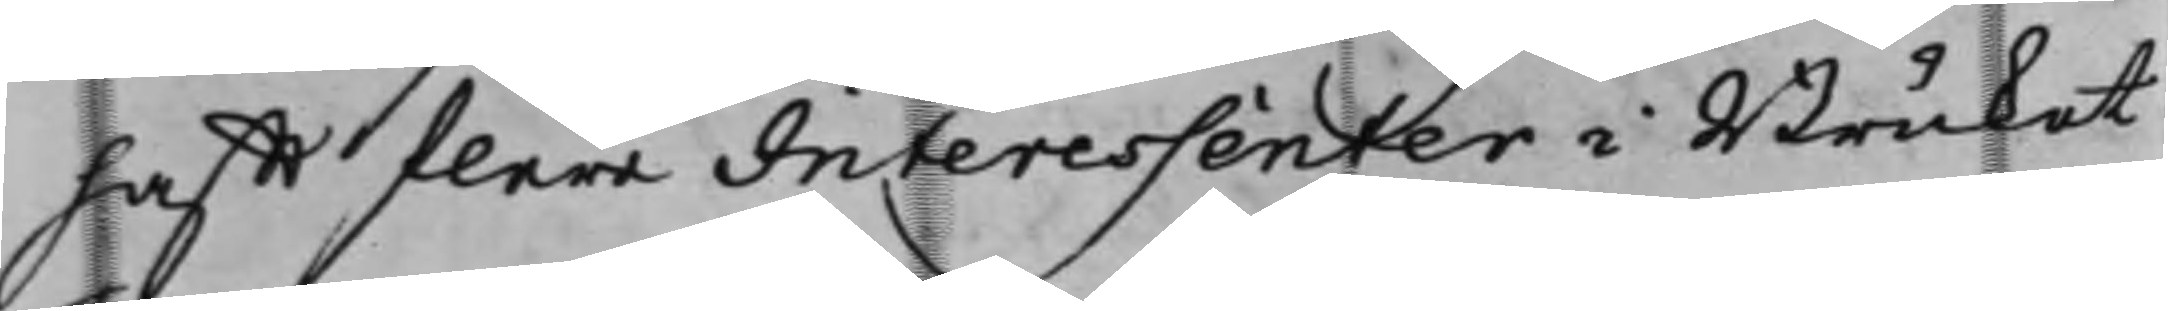hafft flere Interessenter i Bruket
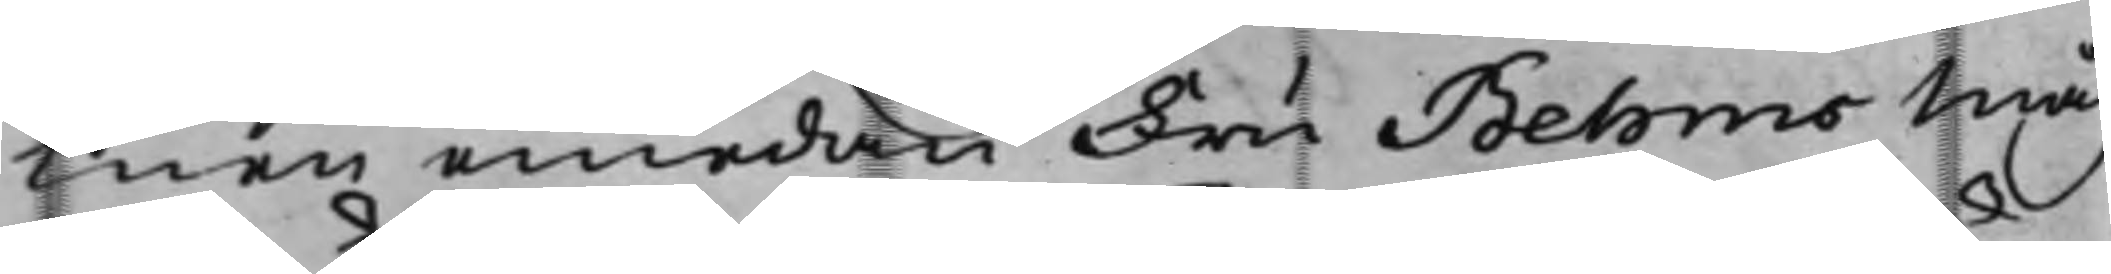Men emedan Fru Behms Måg
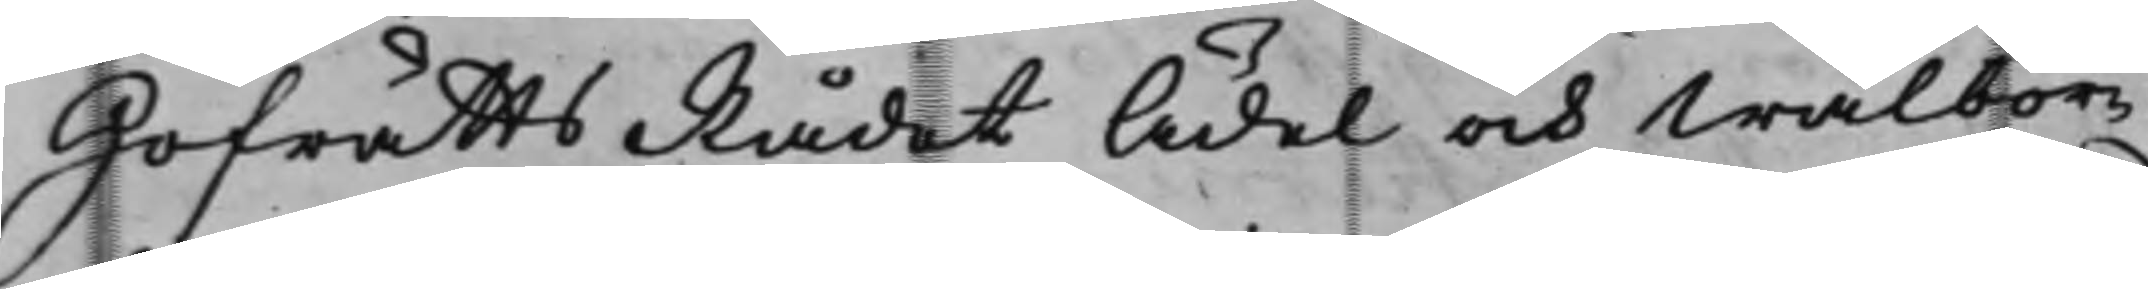HofrättsRådet Ädel och Wälbör¬
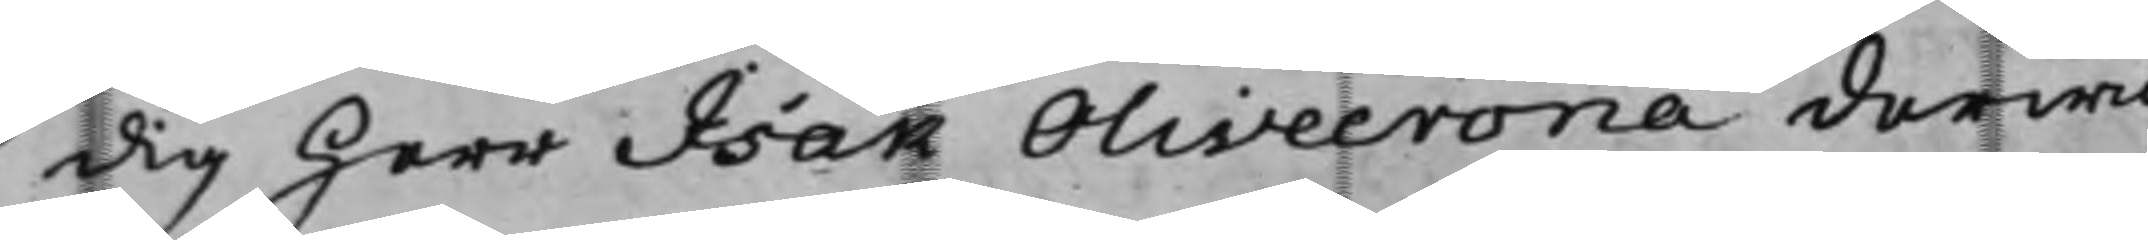dig Herr Isak Olivecrona derwid
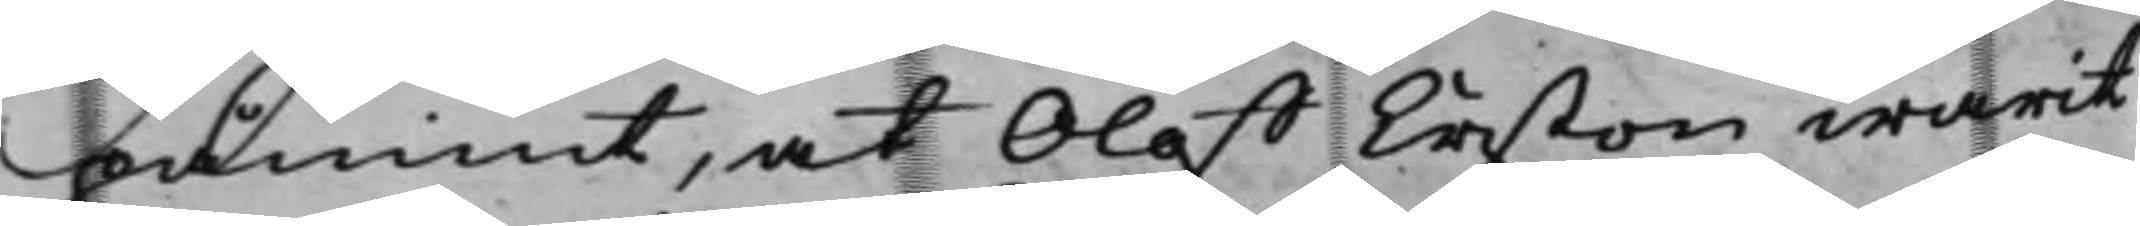pämint, at Oloff Erßon warit
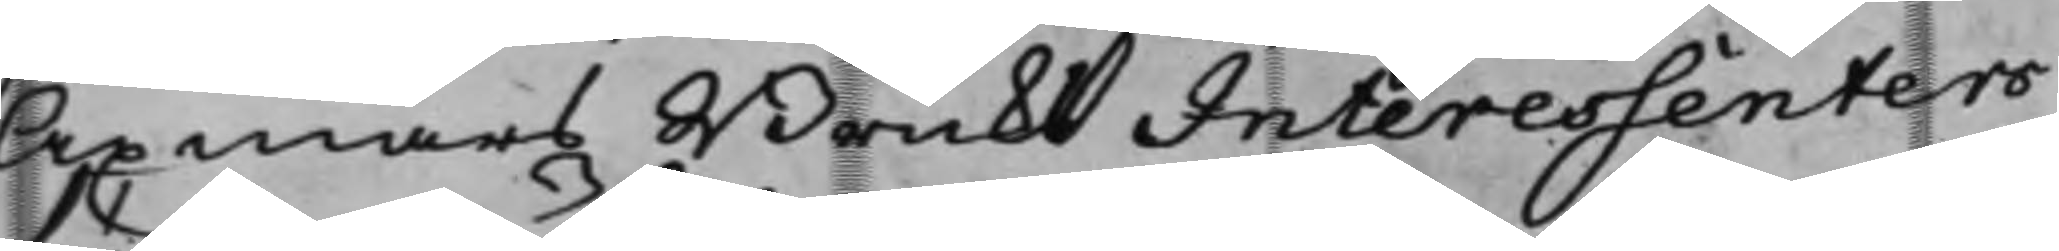Axmars Bruks Interessenters
